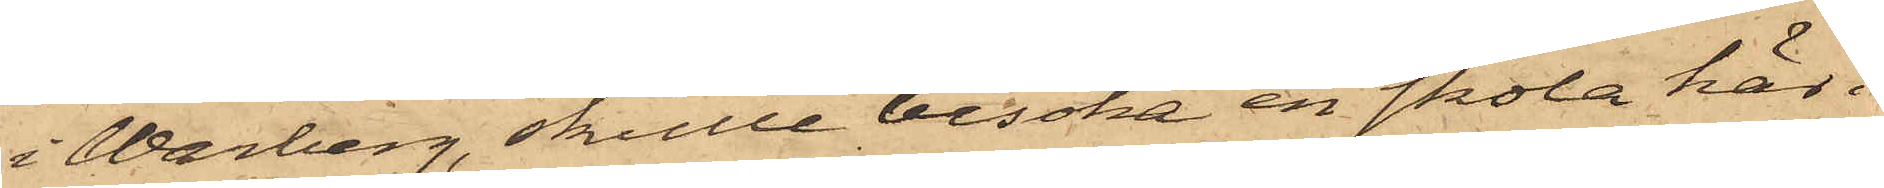i Warberg, skulle besöka en skola här i
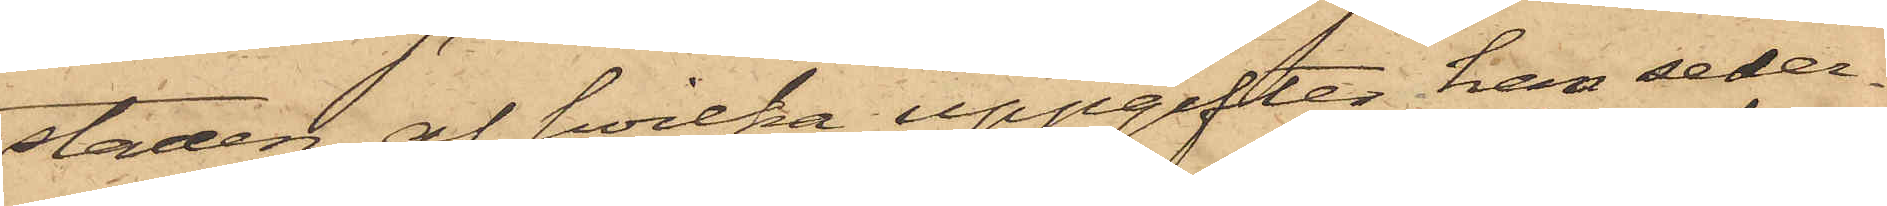staden, af hvilka uppgifter han seder¬
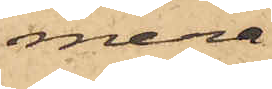mera
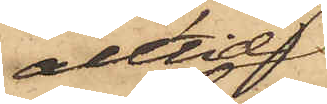alltid
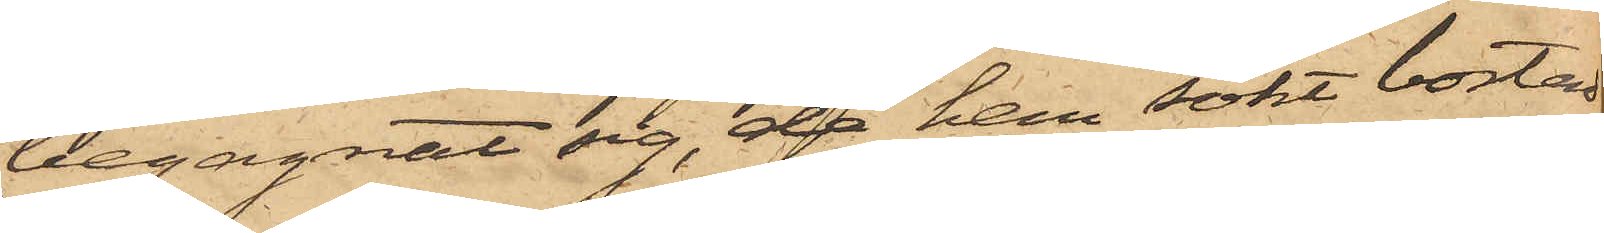begagnat sig, då han sökt bostad,
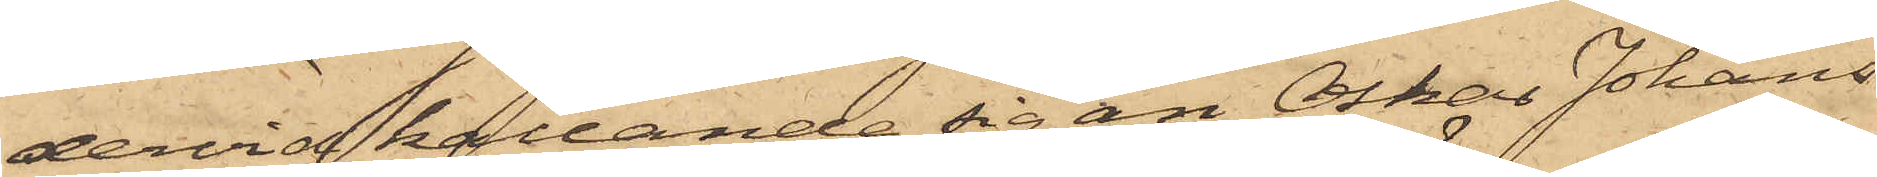dervid kallande sig än Oskar Johans¬
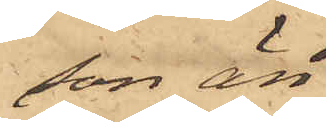son, än
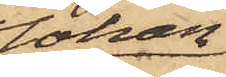Johan
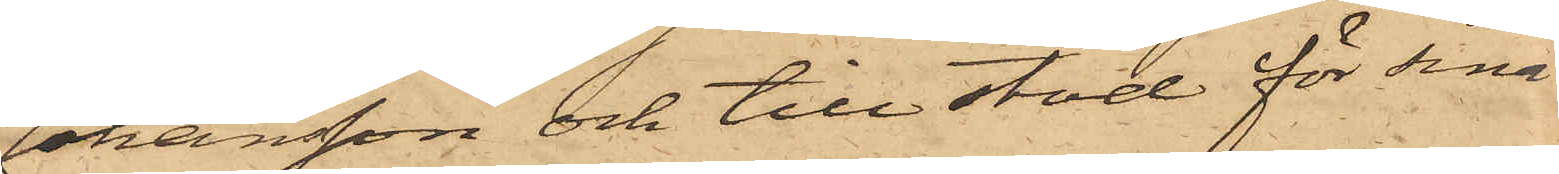Johansson och till stöd för sina
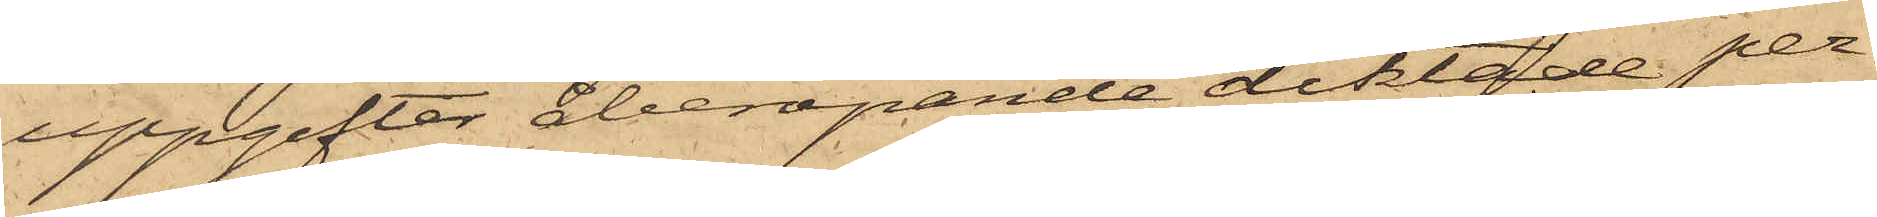uppgifter åberopande diktade per¬
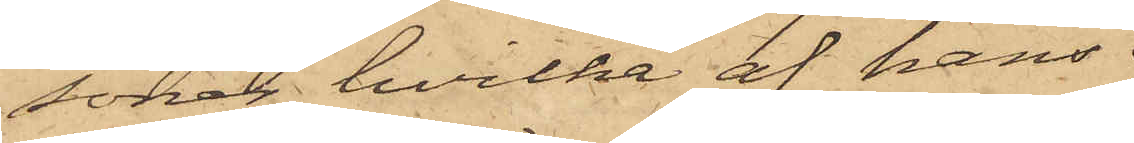soner, hvilka af hans
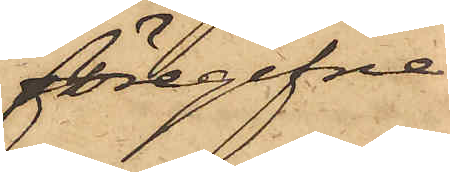föregifne
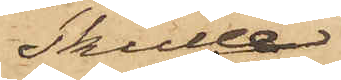skulle
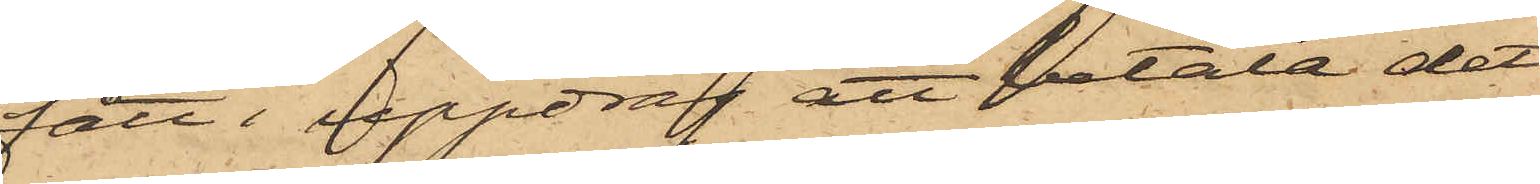fått i uppdrag att betala det
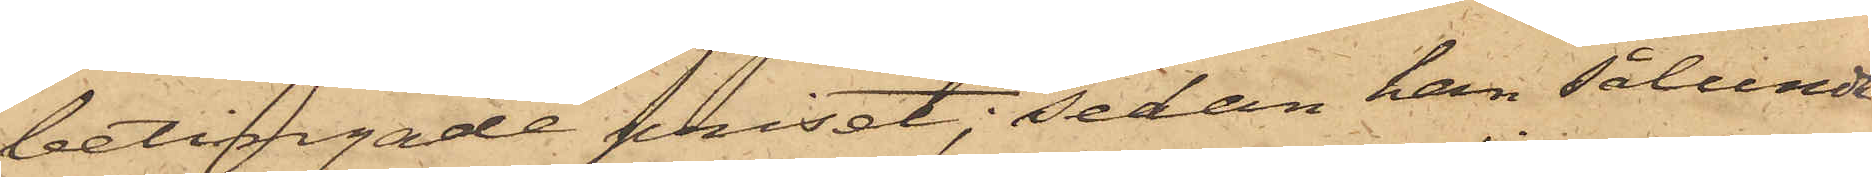betingade priset, sedan han sålunda
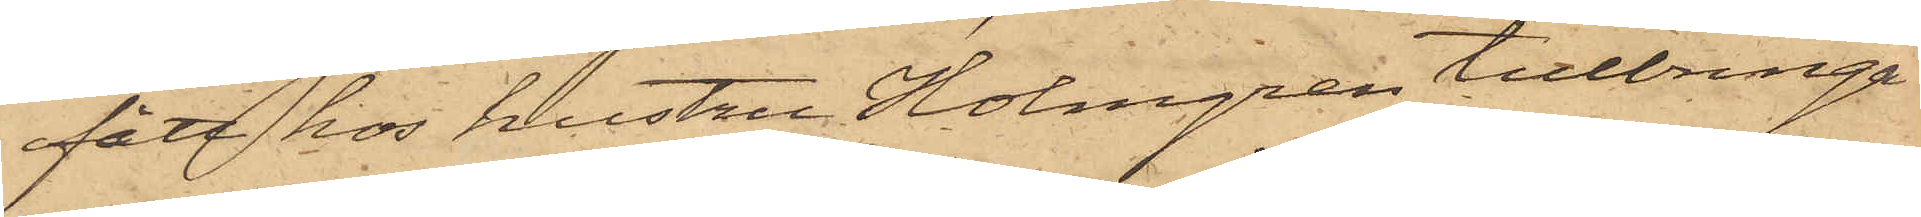fått hos hustru Holmgren tillbringa
